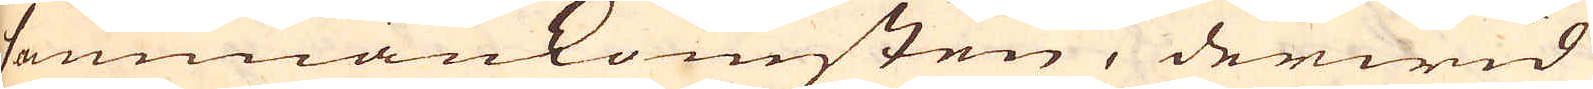sammankomsten, derwid
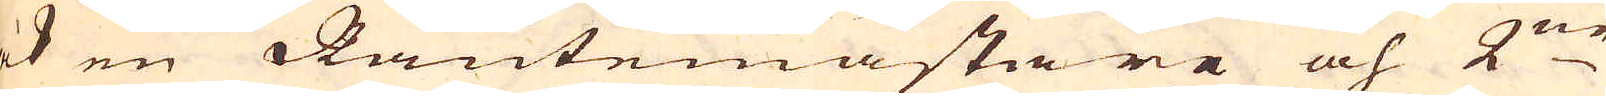ock en Räntemästare och 2:ne
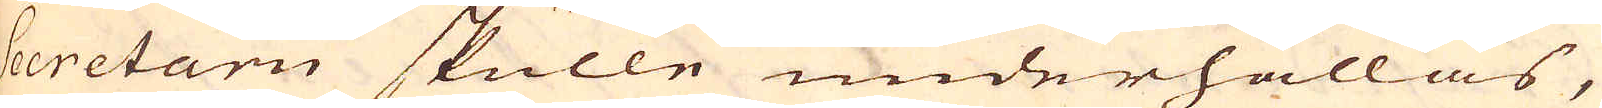Secretarii skulle underhållas,
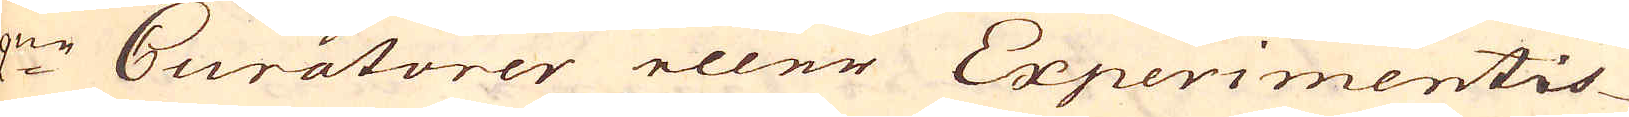2:ne Curatorer eller Experimentis-
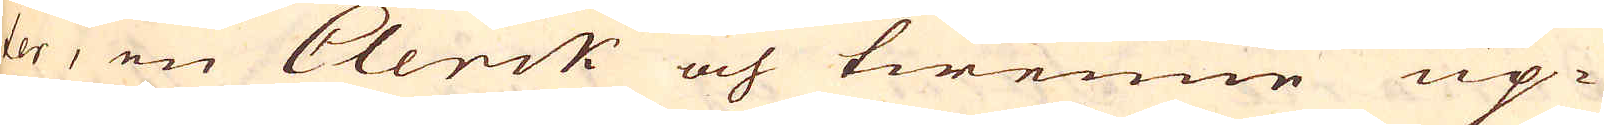ter, en Clerck och twenne up-
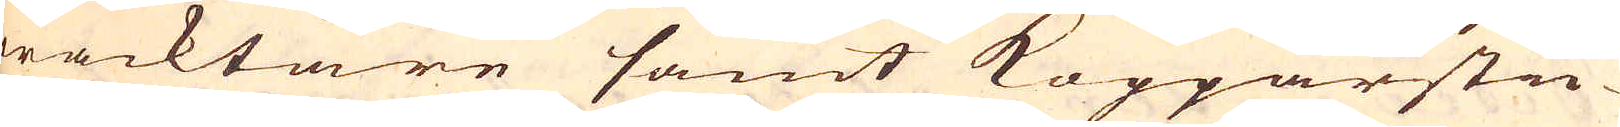wacktare samt Kopparsti-
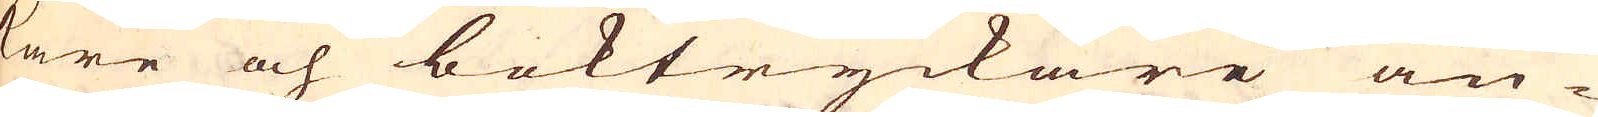kare och boktryckare an-
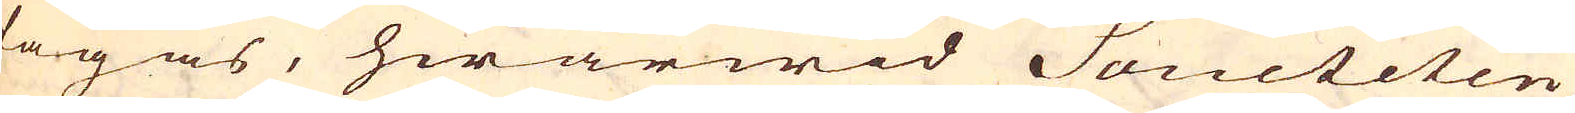tagas, hwarwid Societeten
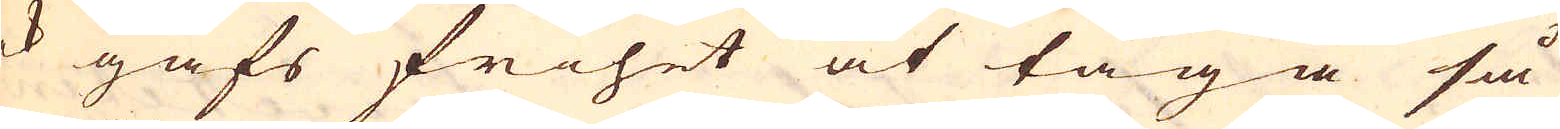ock gafs frihet at taga så
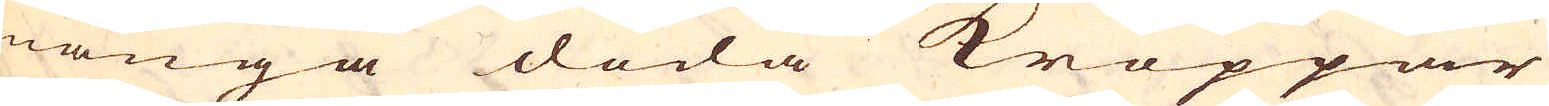många döda Kroppar
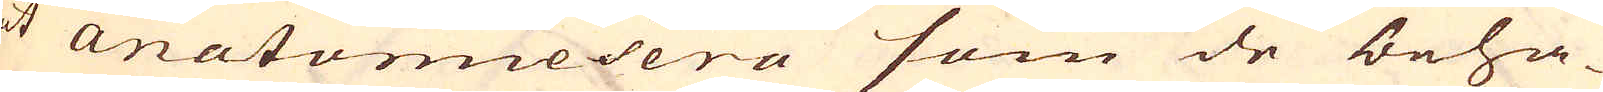at anatomiesera som de beha-
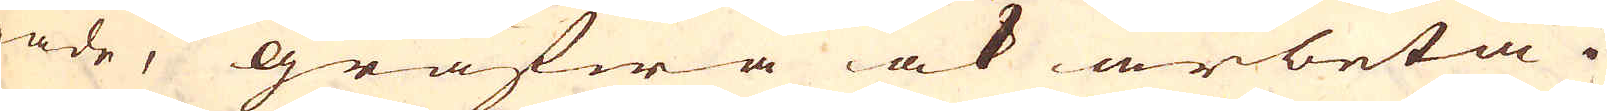nade, gräfwa ock arbeta i
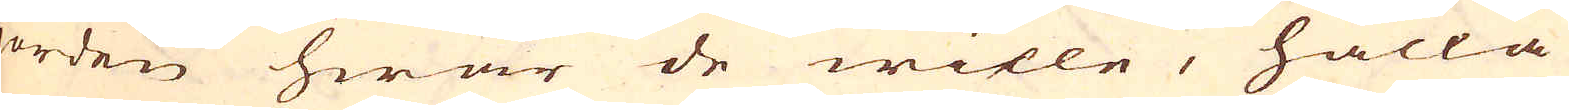jorden hwar de wille, hålla
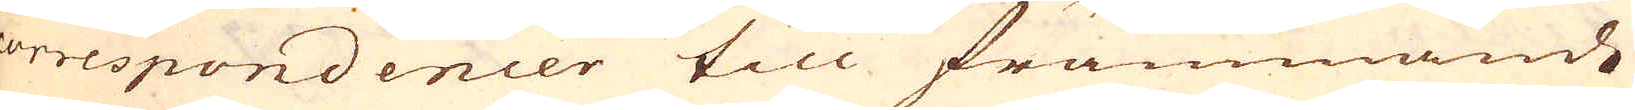correspondencer till främmande
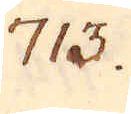713.
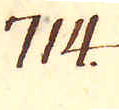714.
